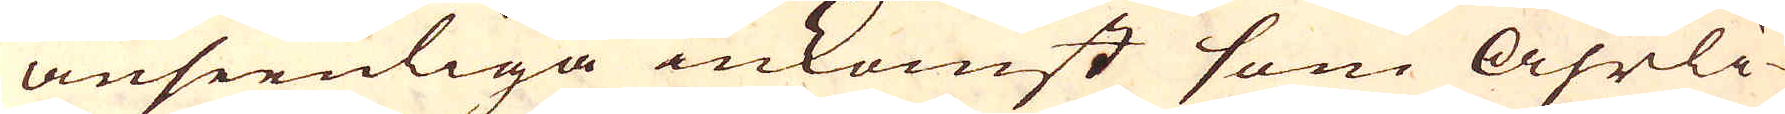anseenliga inkomst som åhrli-
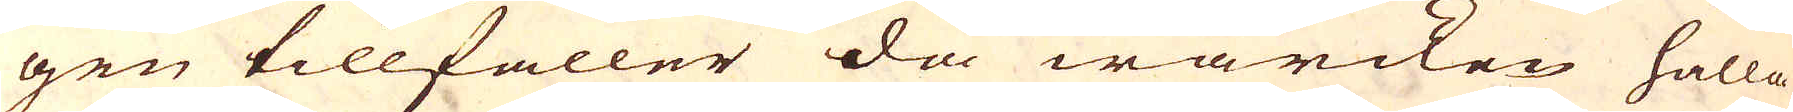gen tillfaller då wärcken hålla
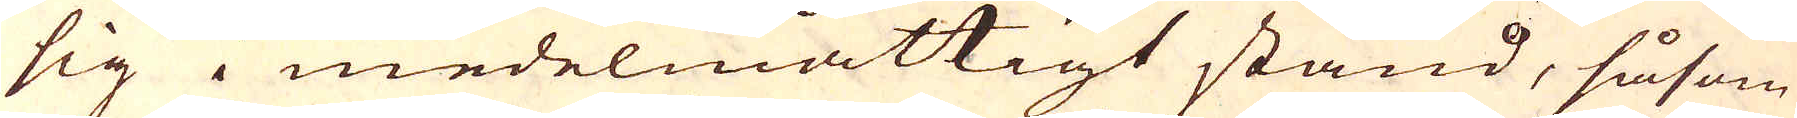sig i medelmåttigt stånd, såsom
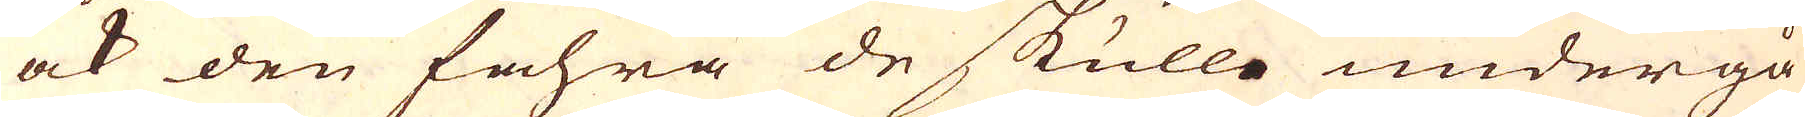ock den fahra de skulle undergå
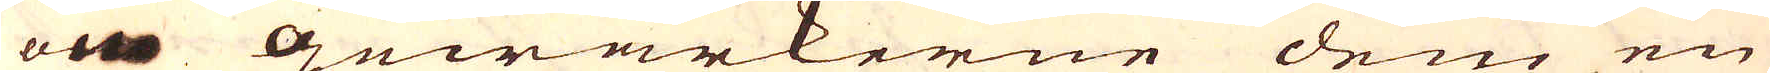om Gewärkerne dem en
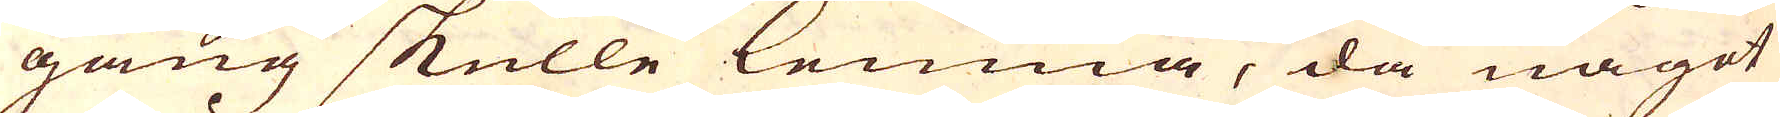gång skulle lemna, då något
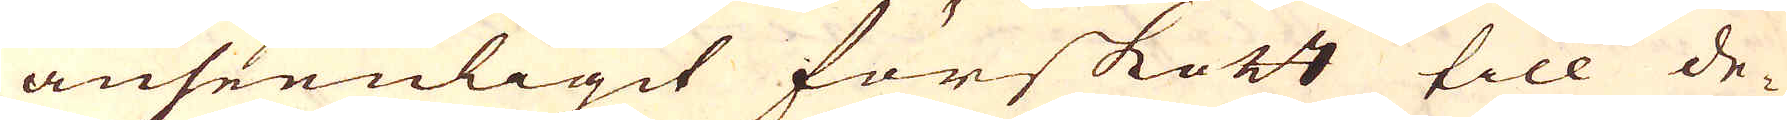anseenligit förskott till de-
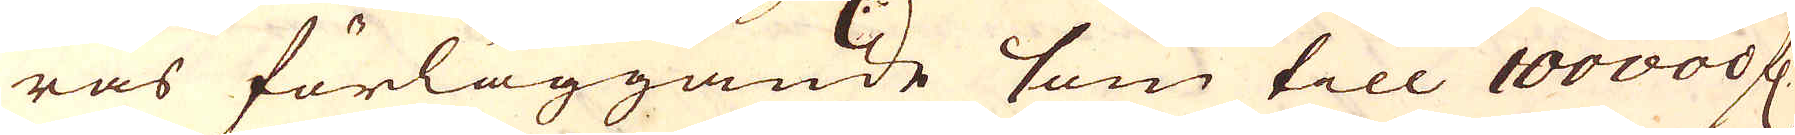ras förläggande som till 100000 fl:
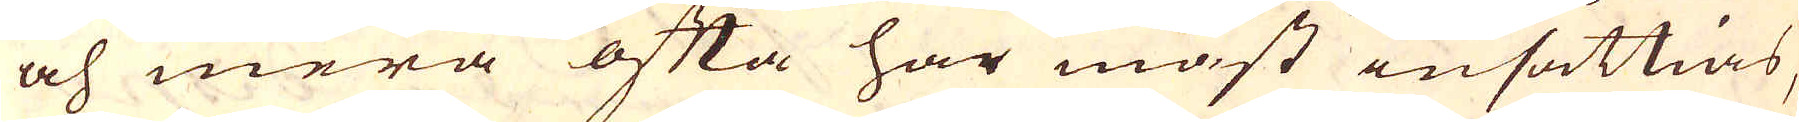och mera ofta har måst insättias,
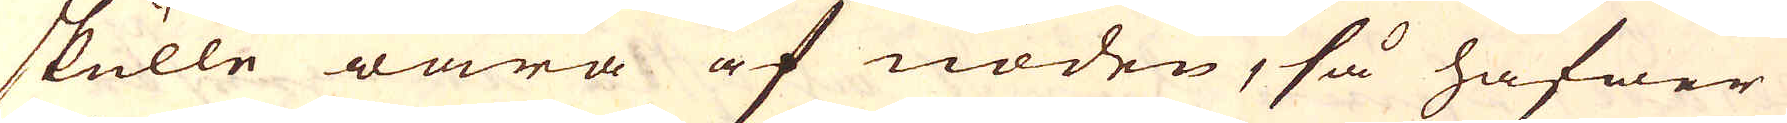skulle wara af nöden, så hafwer
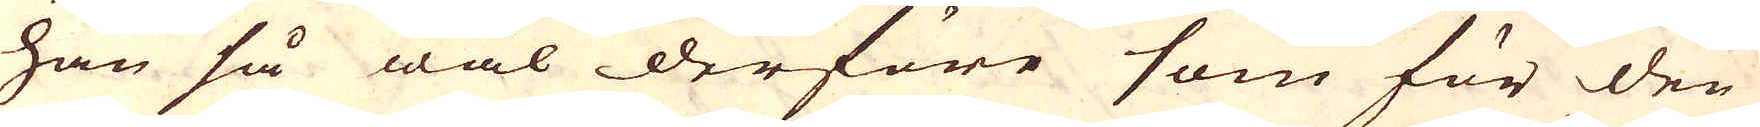han så wäl derföre som för den
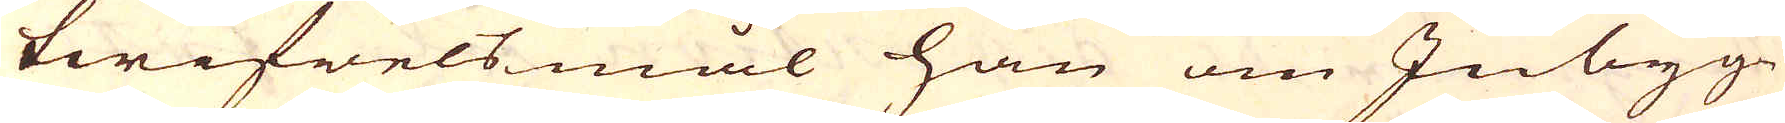twifwelsmål han om Inbyg-
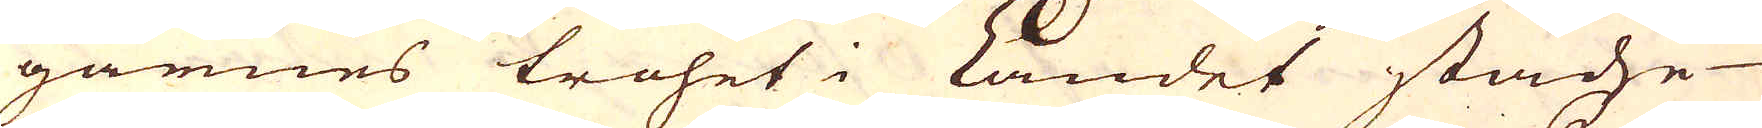garnes trohet i Landet städze
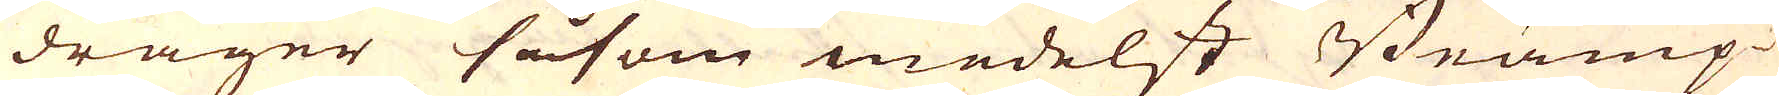drager såsom medelst Bramp-
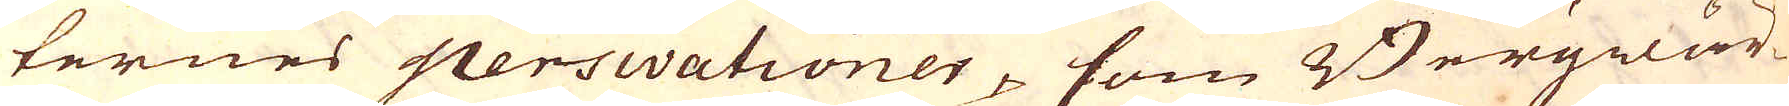ternes perswationer, som Bergwär-
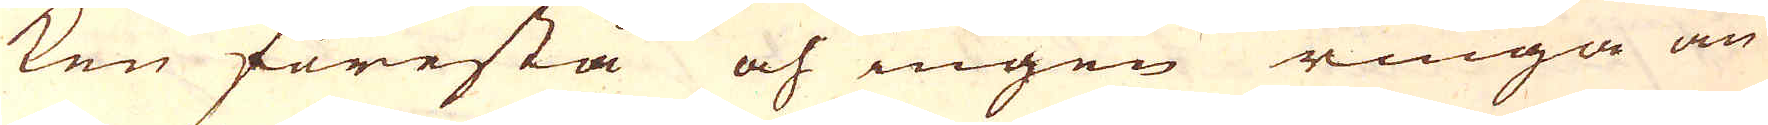ken förestå och ingen ringa an-
